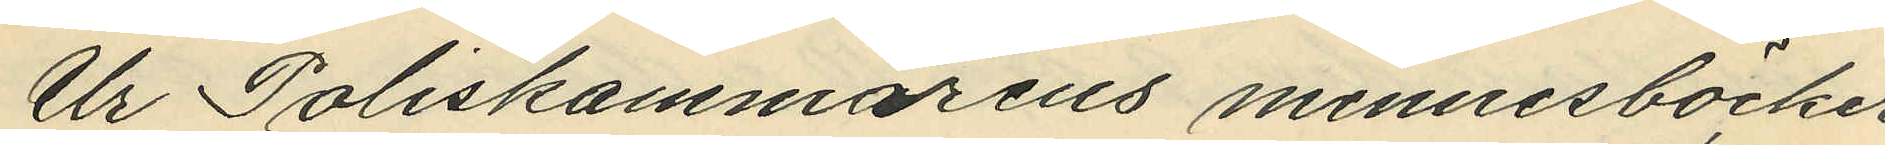Ur Poliskammarens minnesböcker
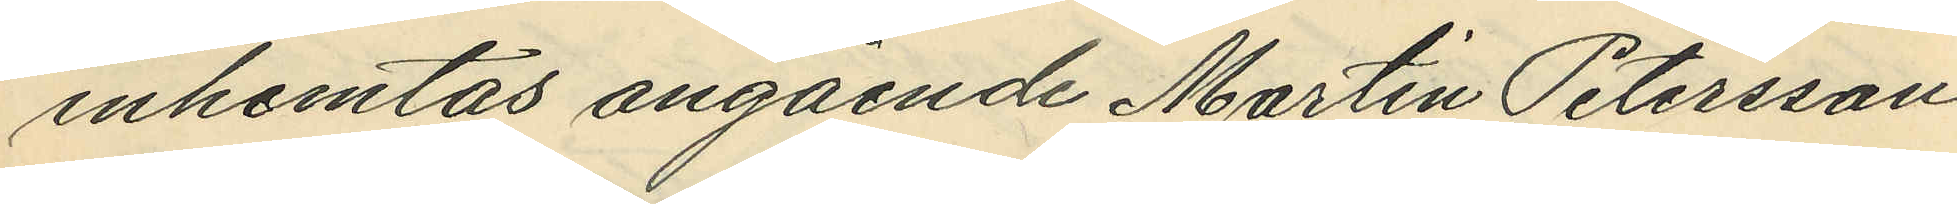inhemtas angående Martin Petersson
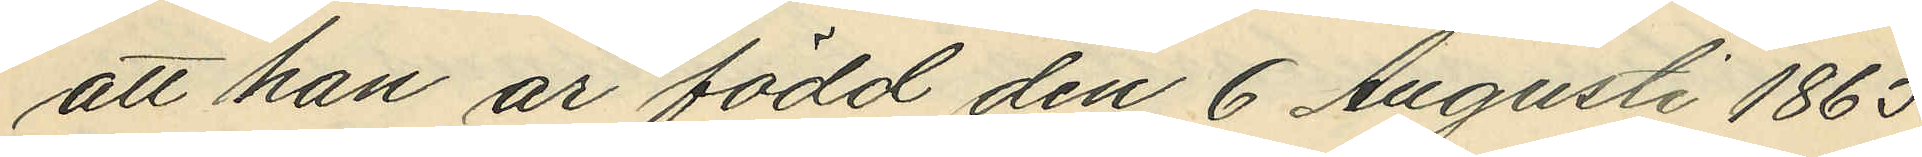att han ar född den 6 Augusti 1865
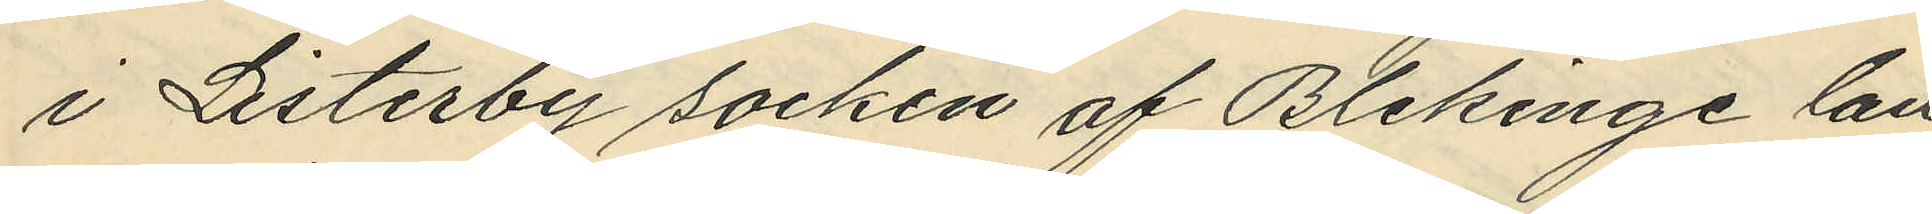i Listerby socken af Blekinge län
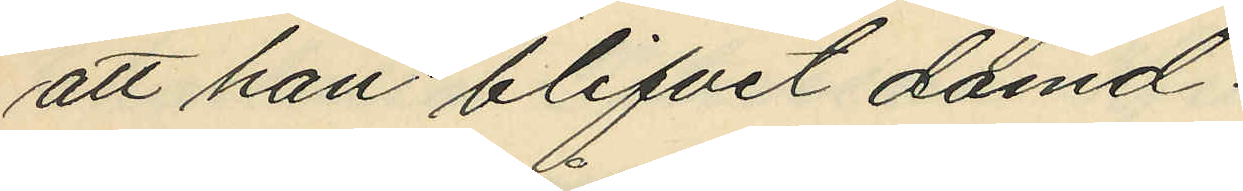att han blifvit dömd:
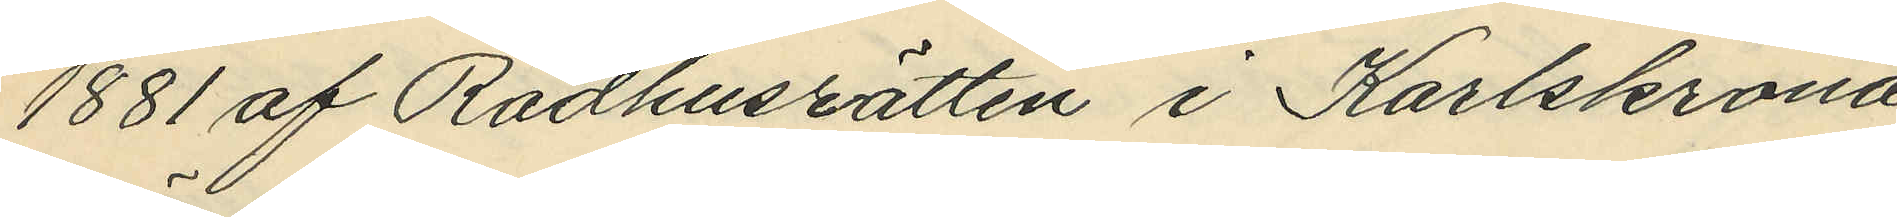1881 af Rådhusrätten i Karlskrona
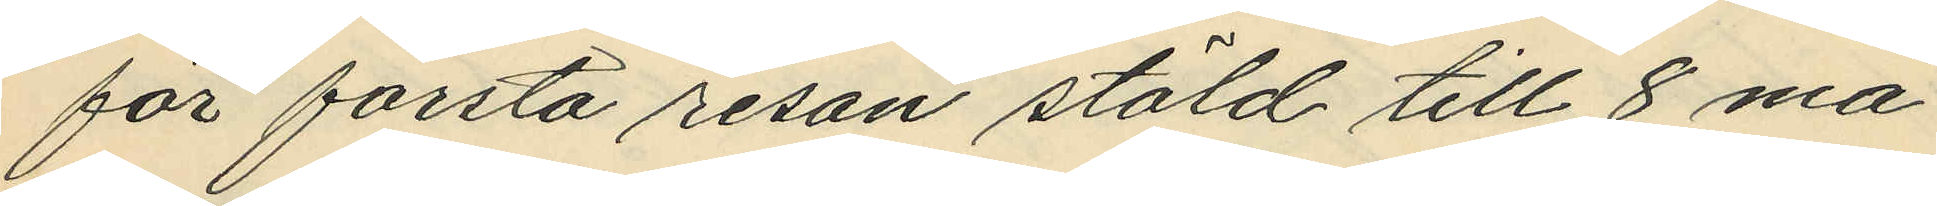för första resan stöld till 8 må¬
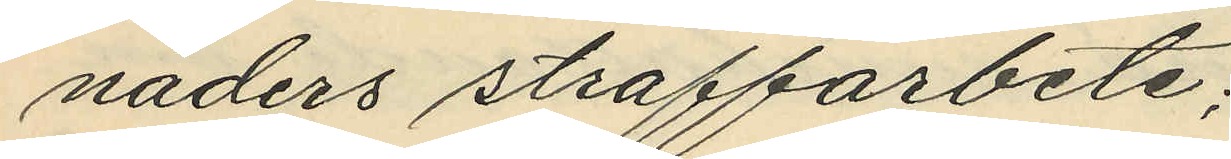naders straffarbete;
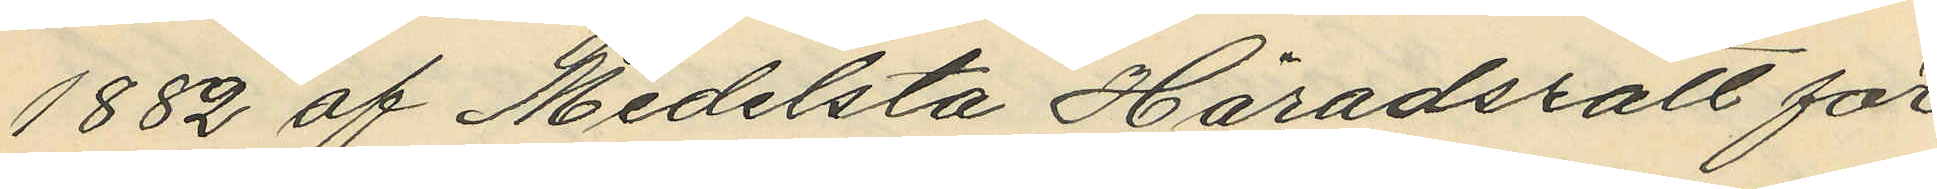1882 af Medelsta Häradsrätt för
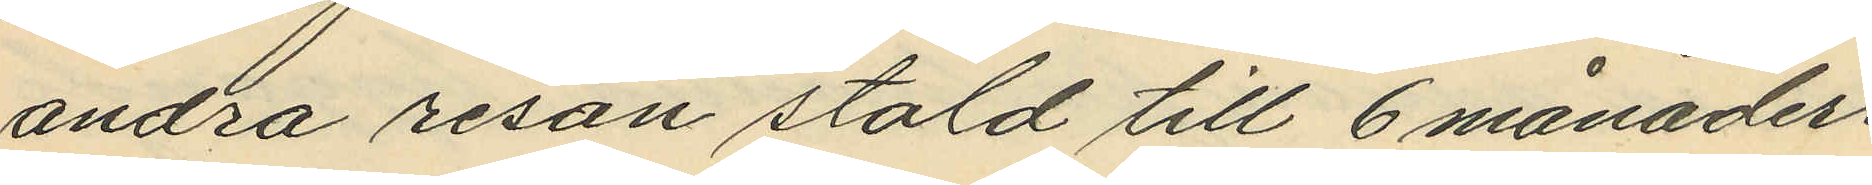andra resan stöld till 6 månaders
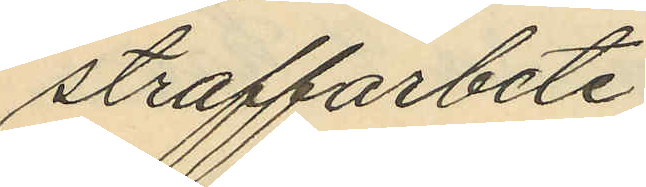straffarbete;
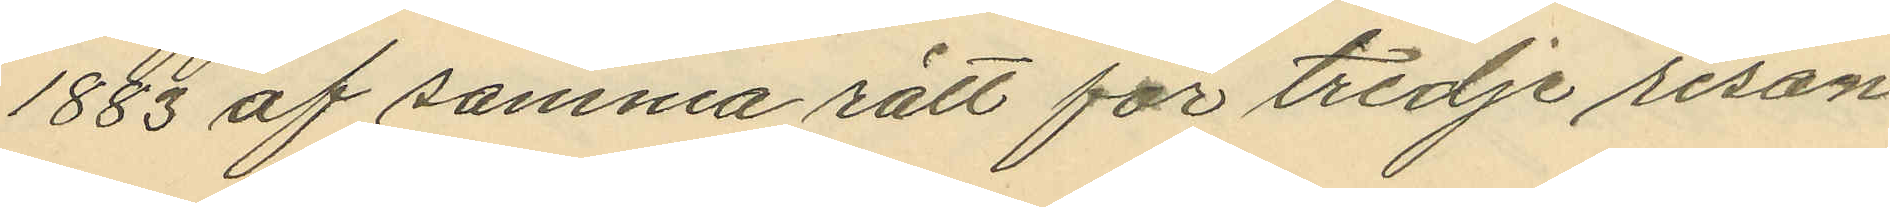1883 af samma rätt för tredje resan
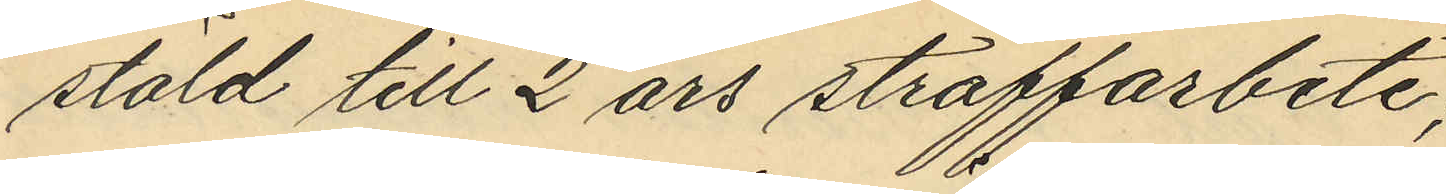stöld till 2 års straffarbete;
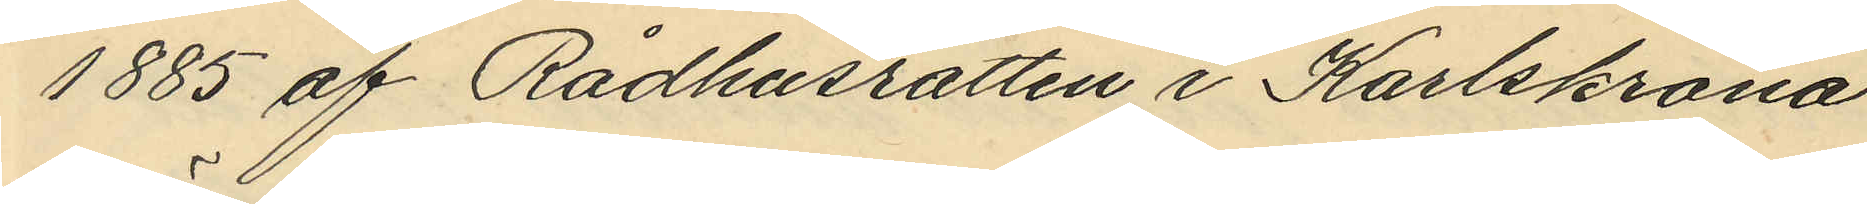1885 af Rådhusrätten i Karlskrona
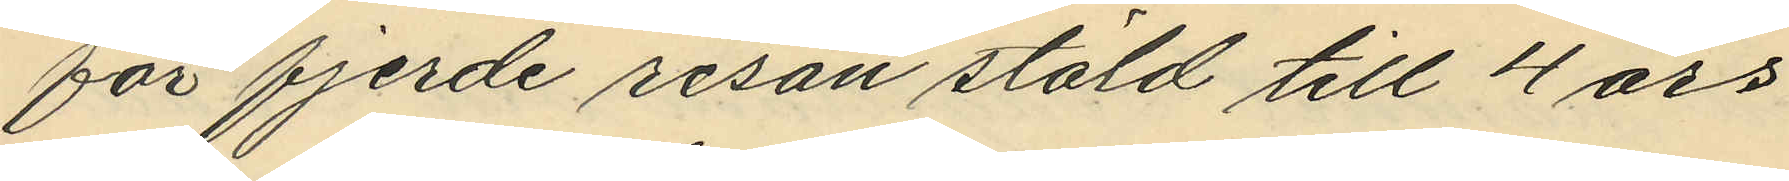för fjerde resan stöld till 4 års
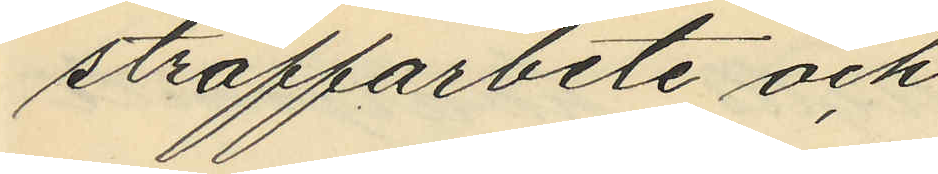straffarbete och
